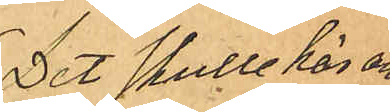Det skulle här an¬
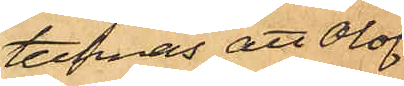tecknas att Olof
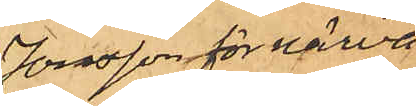Jonsson för närva¬
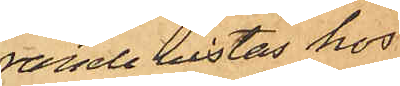rande vistas hos
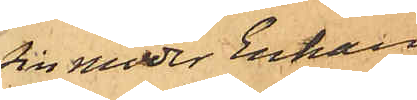sin moder Enkan
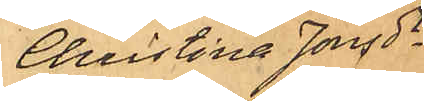Christina Jonsd
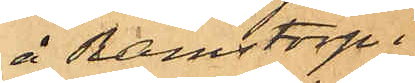å Ramstorp i
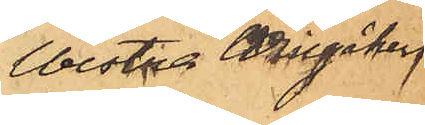Westra Wingåkers
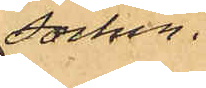Socken.
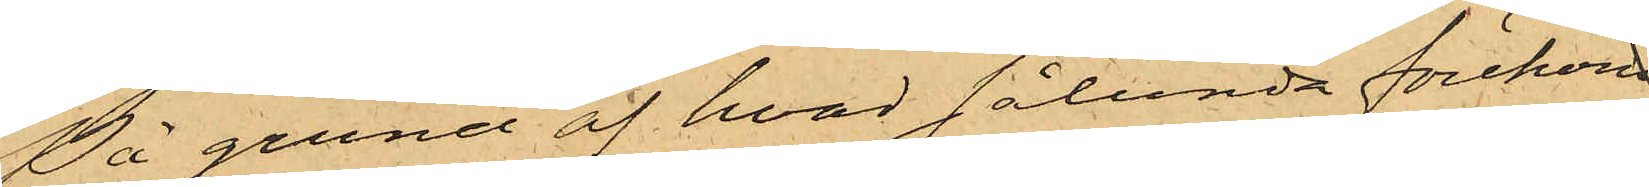På grund af hvad sålunda förekom¬
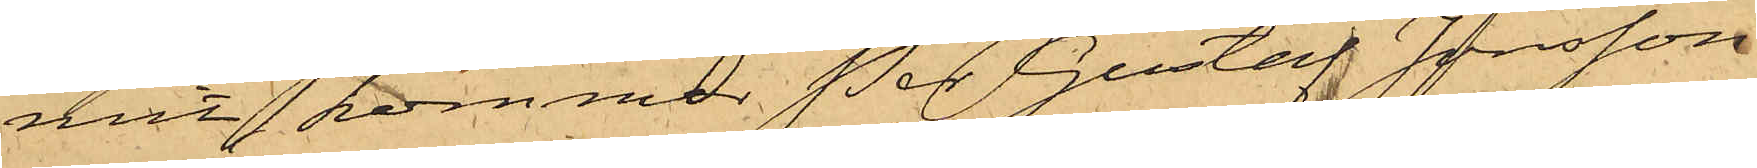mit, kommer Per Gustaf Jonsson
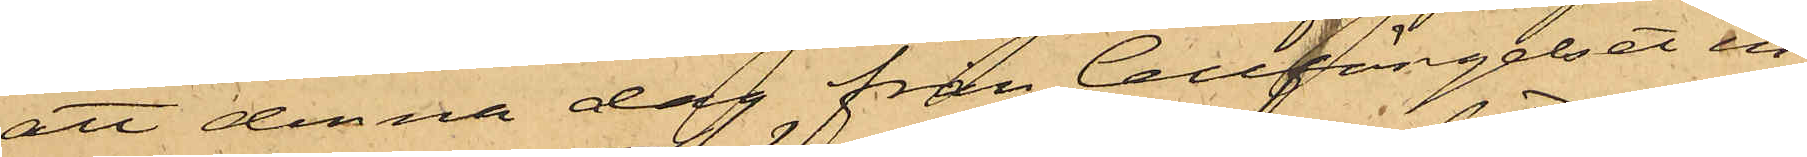att denna dag från Cellfängelset in¬
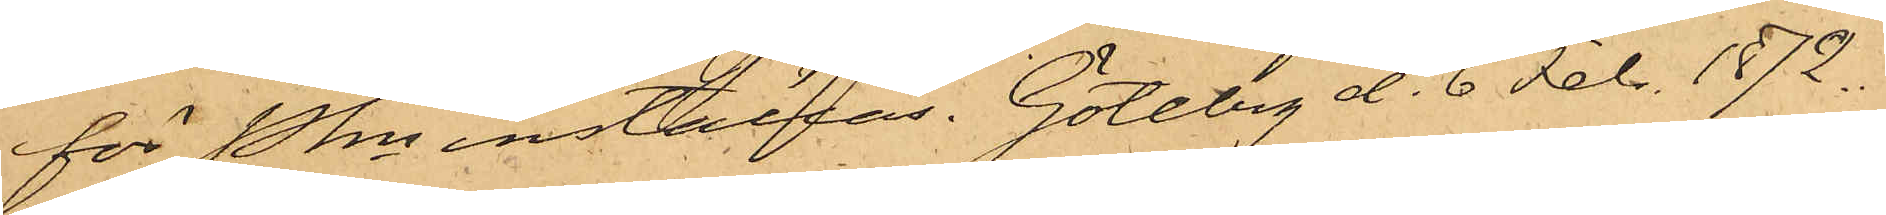för Pkn inställas. Götebrg d. 6 Febr. 1872.
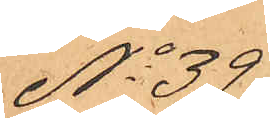No 39
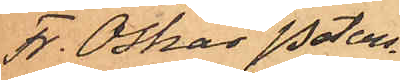Fr. Oskar Peters¬
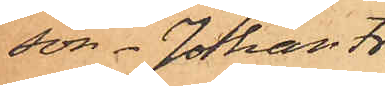son. Johan Fr.
